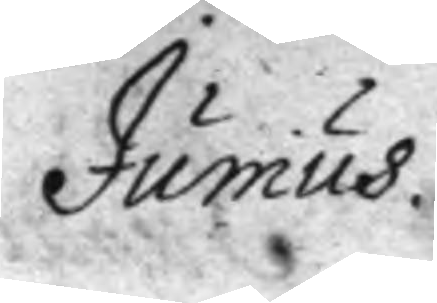Junius.
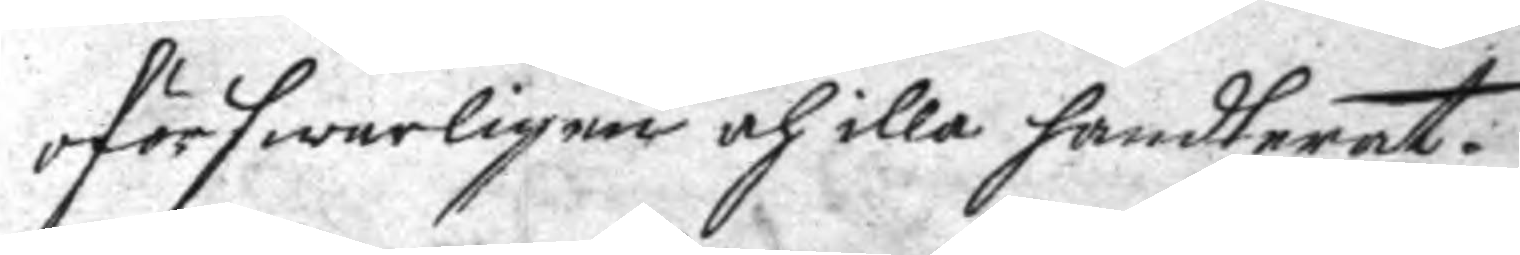oförswarligen och illa handterat.
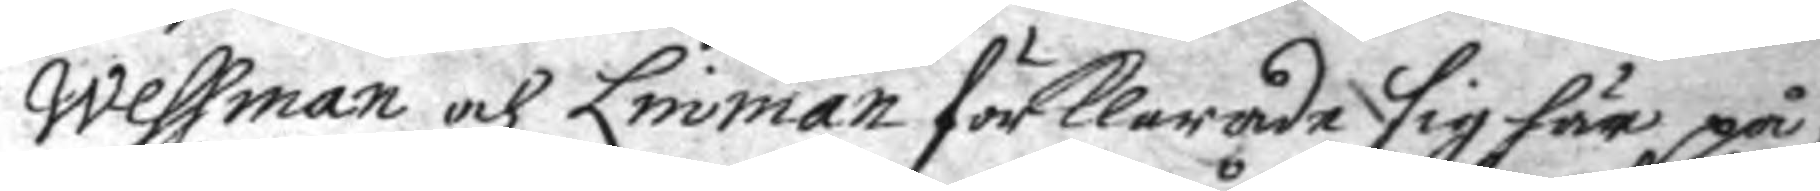Wessman och Linman frklarade sig här på,
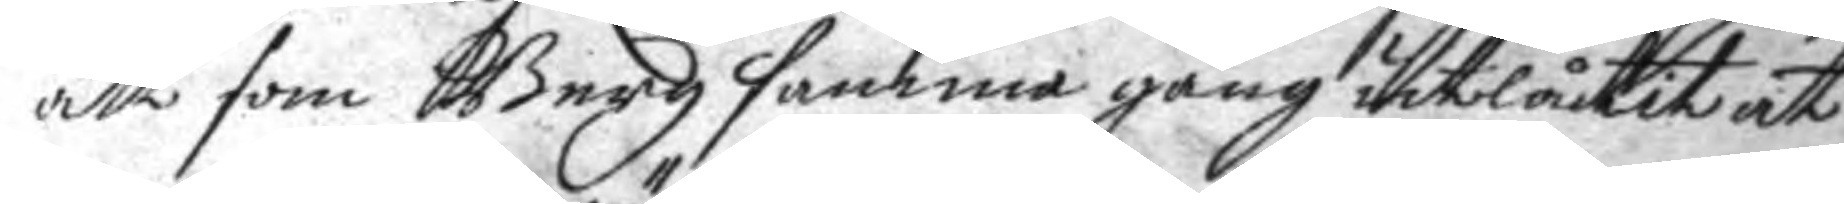att som Berg samma gång utilåtit at
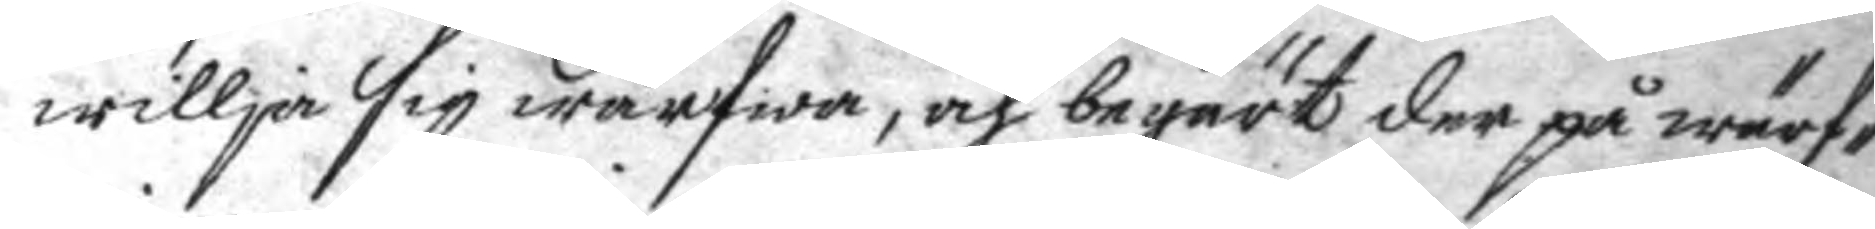willja sig wärfwa, och begärt der på wärf¬
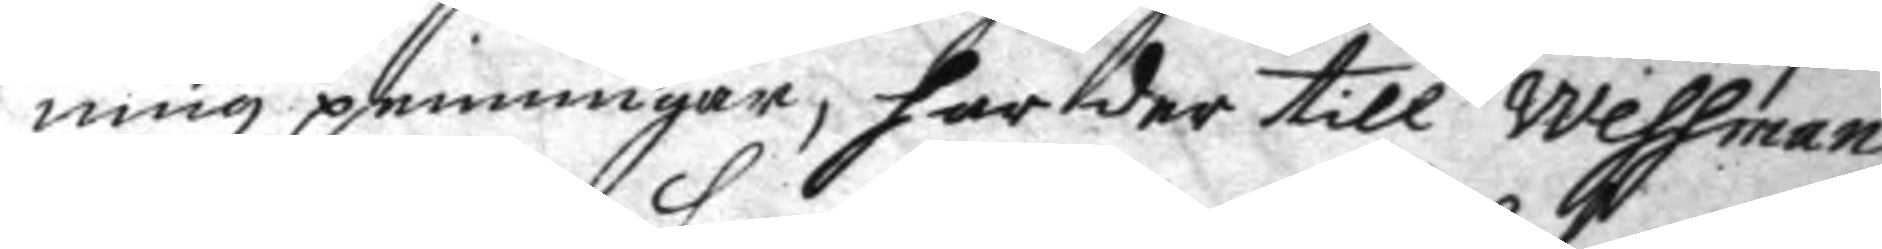ningz penningar, har der till Wessman
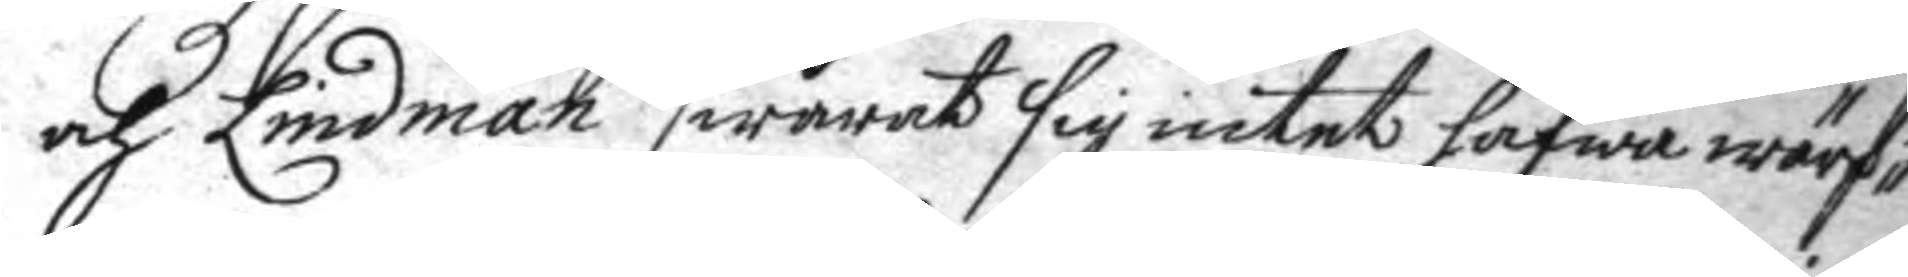och Lindman swarat sig intet hafwa wärf¬
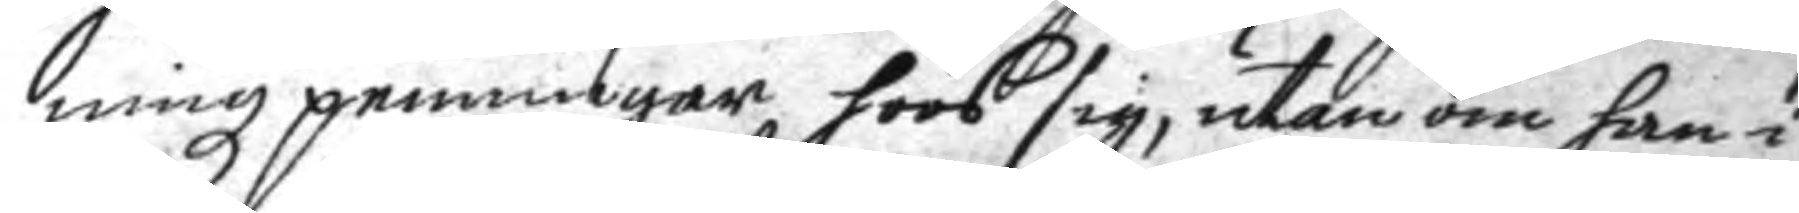ningz penningar hoos sig, utan om han i
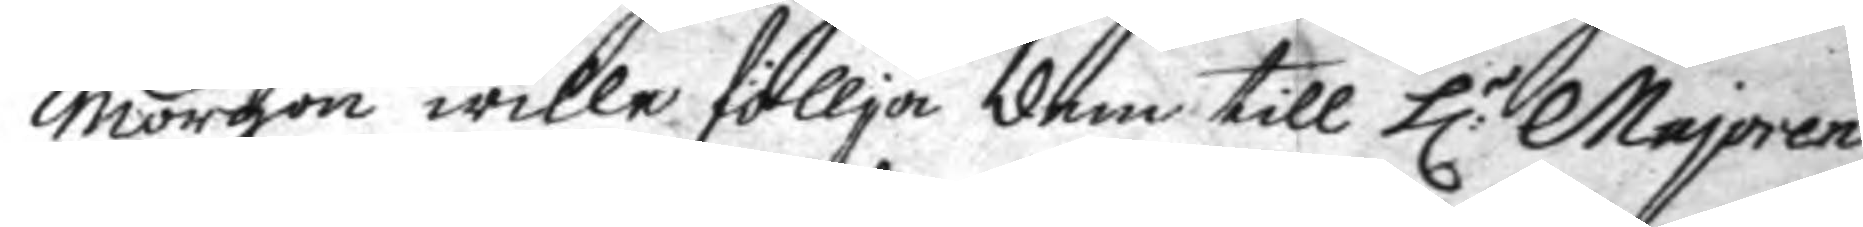morgon wille föllja dem till h:r Majoren
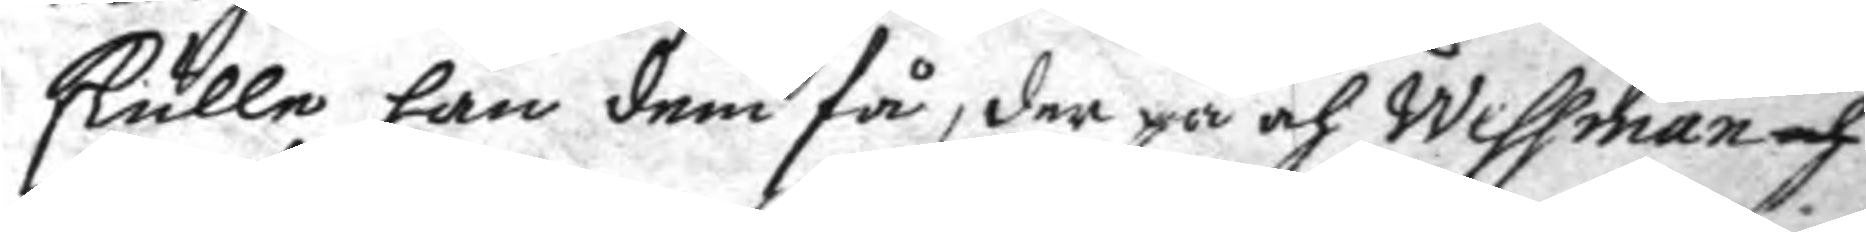skulle han dem få, der på och Wessman och
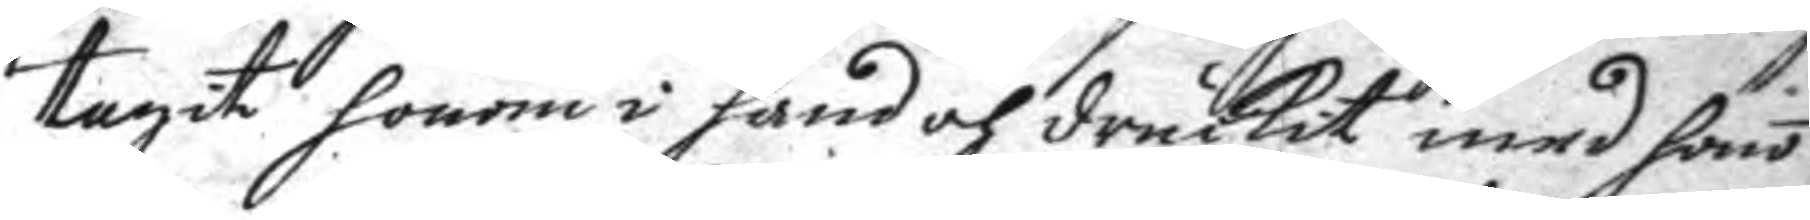tagit honom i hand och druckit med hono
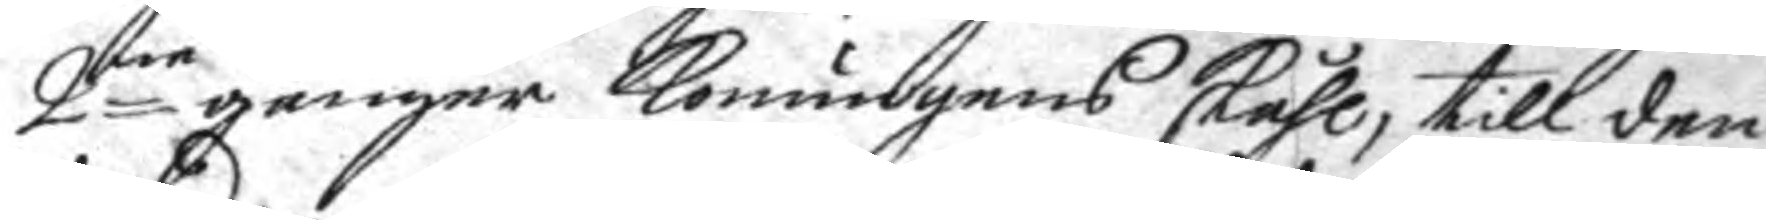2ne gånger konungens skåhl, till den
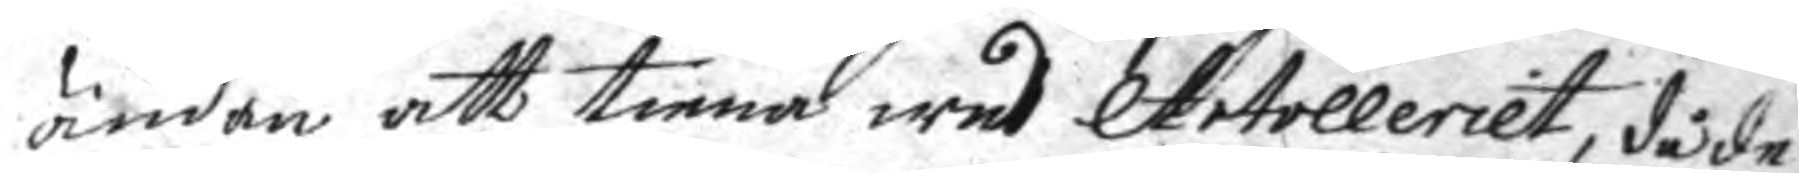ändan att tiena wed Artolleriet, då de
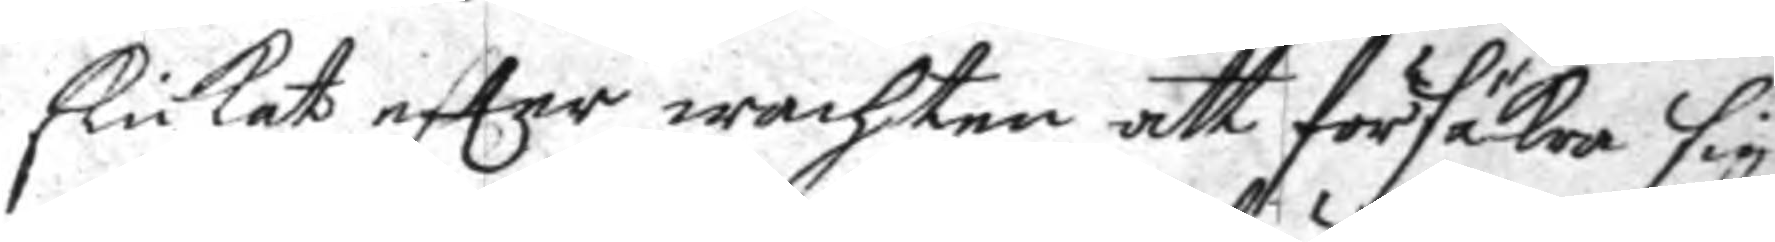skickat efter wachten att försäkra sig
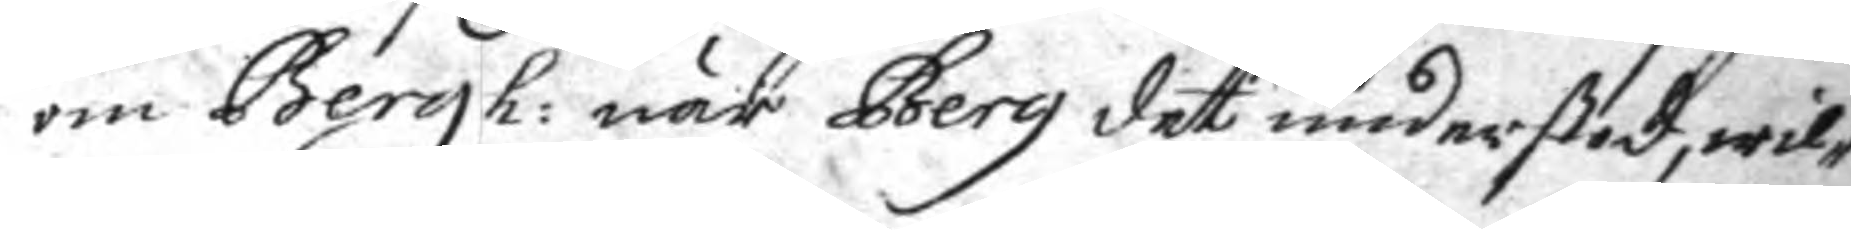om Bergh: när Berg det understod, wil¬
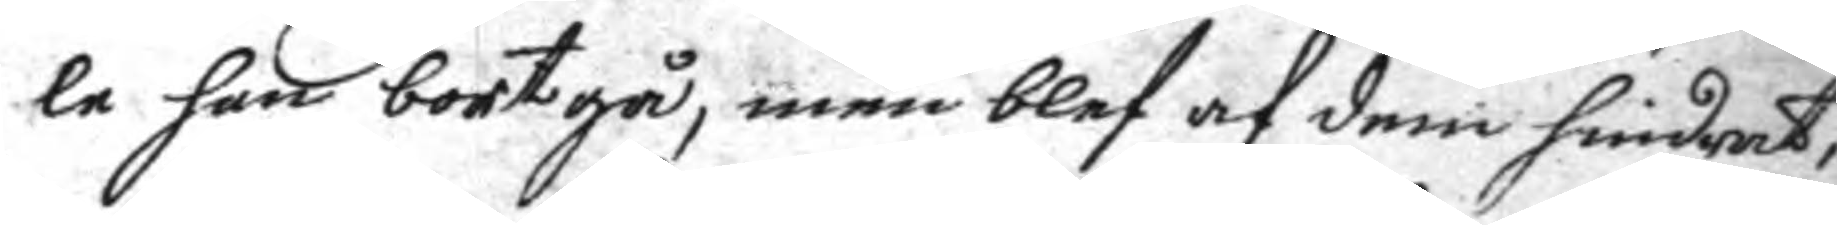le han bortgå, men blef af dem hindrat,
